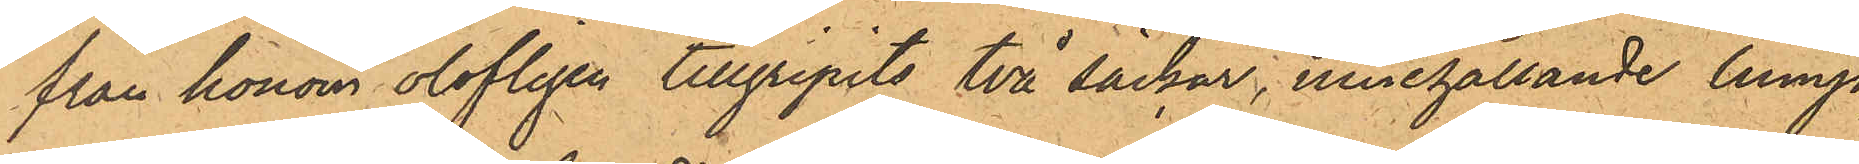från honom olofligen tillgripits två säckar, innehållande lump,
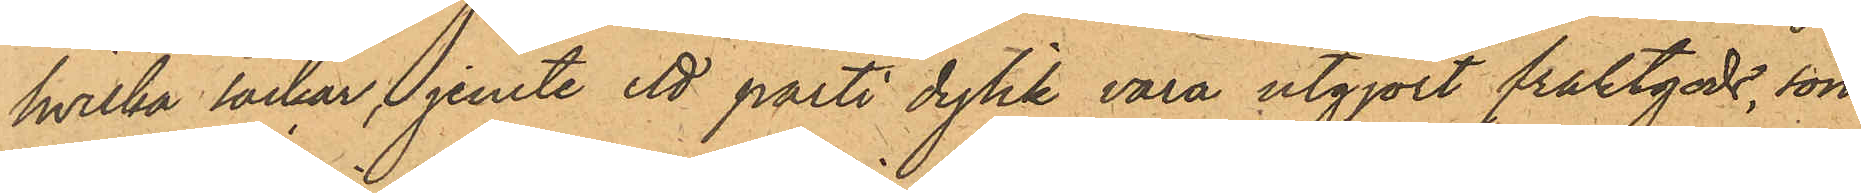hvilka säckar, jemte ett parti dylik vara utgjort fraktgods, som
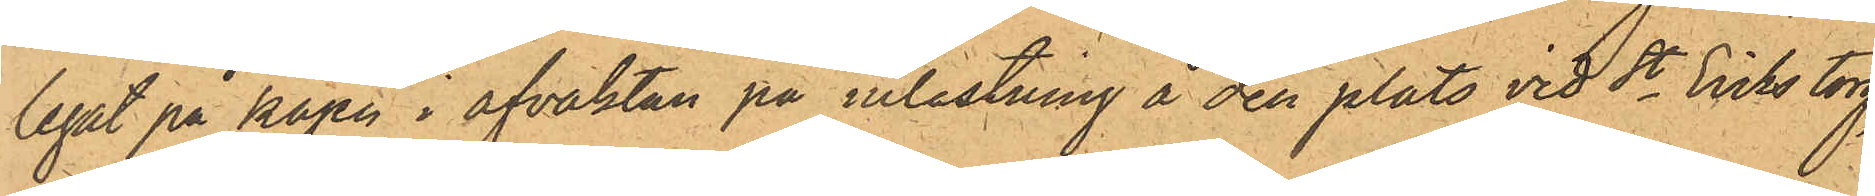legat på kajen i afvaktan på inlastning å den plats vid St Eriks torg,
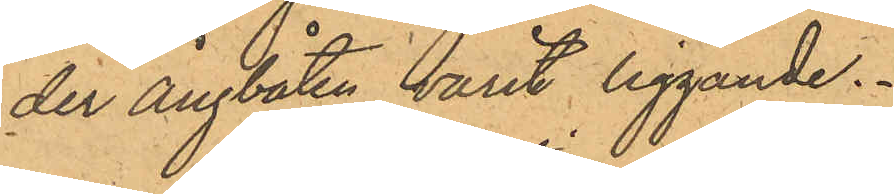der ångbåten varit liggande.
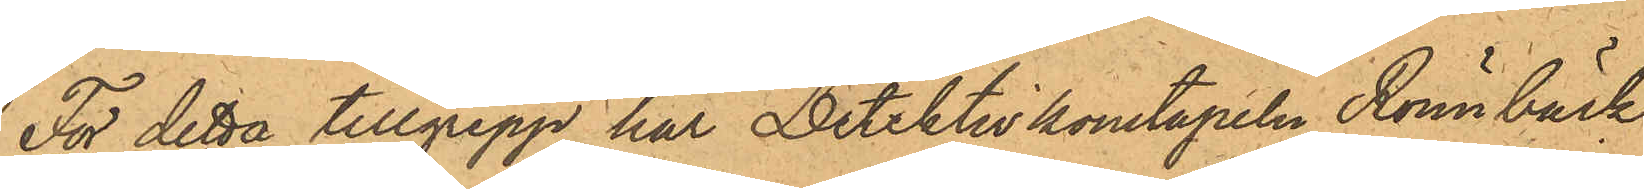För detta tillgrepp har Detektivkonstapeln Rönnbäck
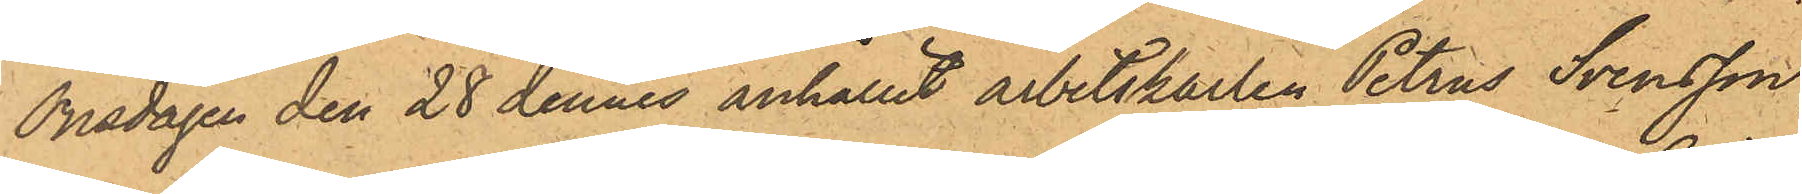Onsdagen den 28 dennes anhållit arbetskarlen Petrus Svensson
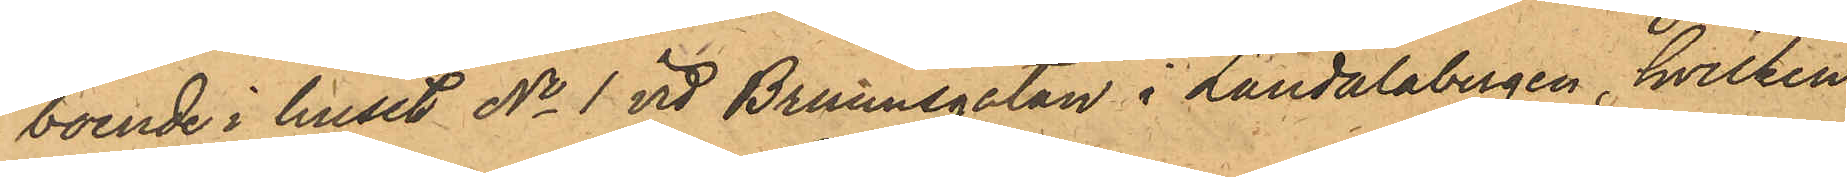boende i huset No 1 vid Brunnsgatan i Landalabergen, hvilken
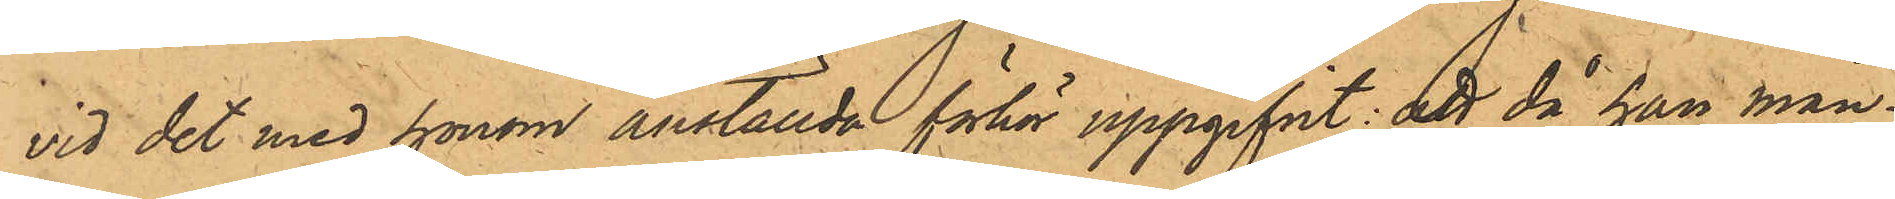vid det med honom anställda förhör uppgifvit: att då han mån¬
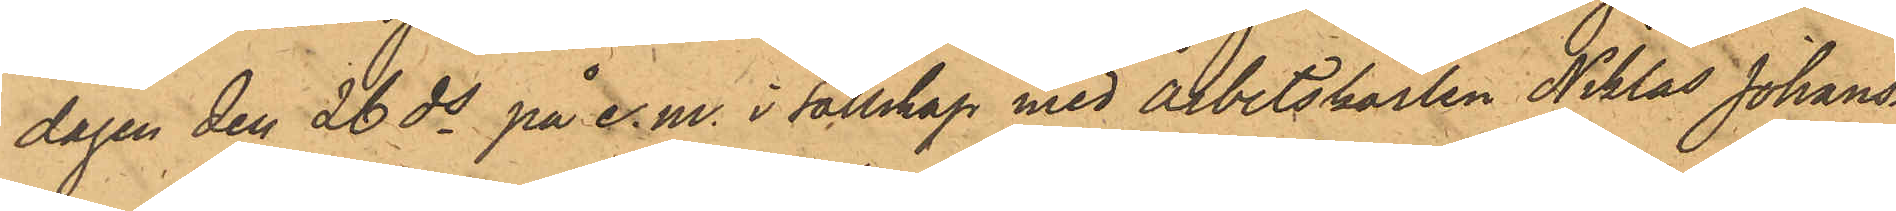dagen den 26 ds på e.m. i sällskap med Arbetskarlen Niklas Johans¬
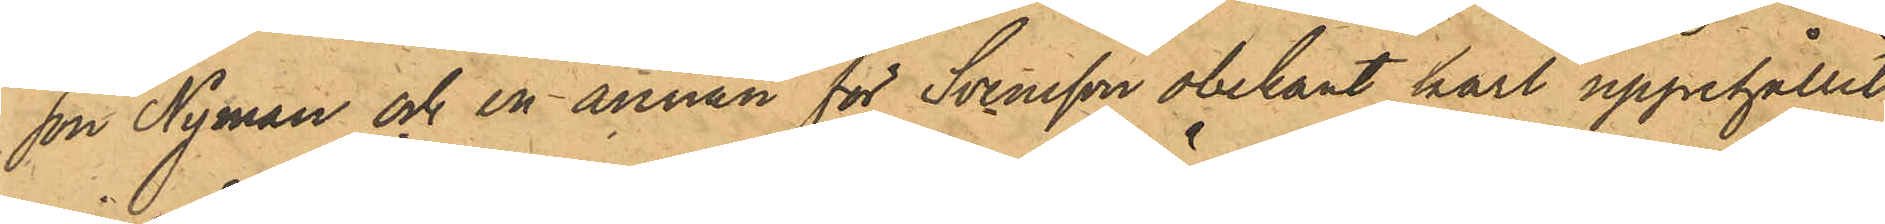son Nyman och en annan för Svensson obekant karl uppehållit
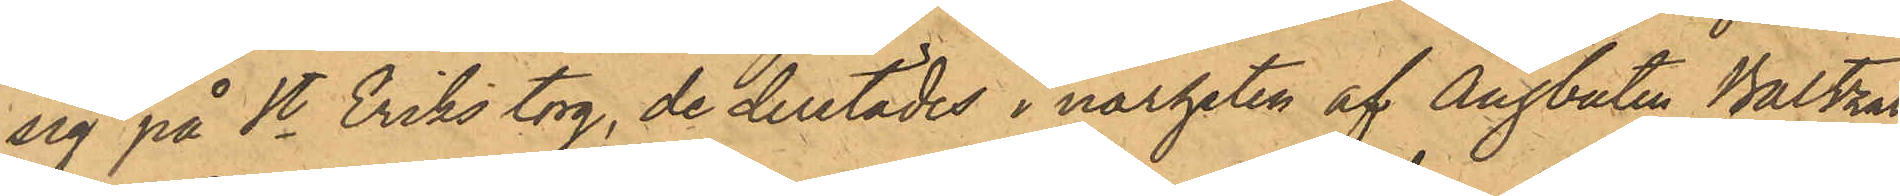sig på St Eriks torg, de derstädes i närheten af Ångbåten Baltzar
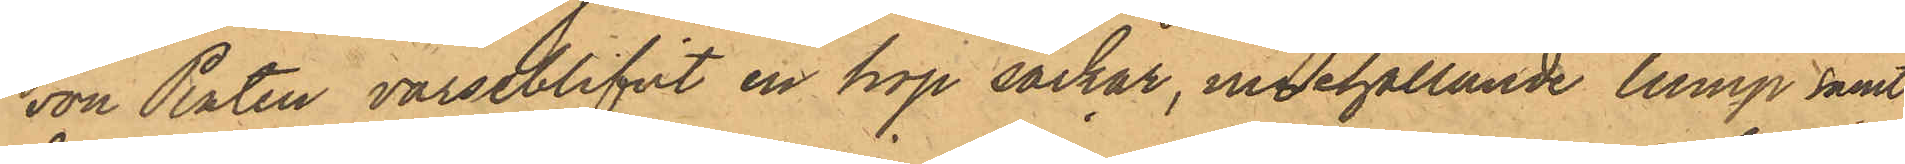von Platen varseblifvt en hop säckar, innehållande lump samt
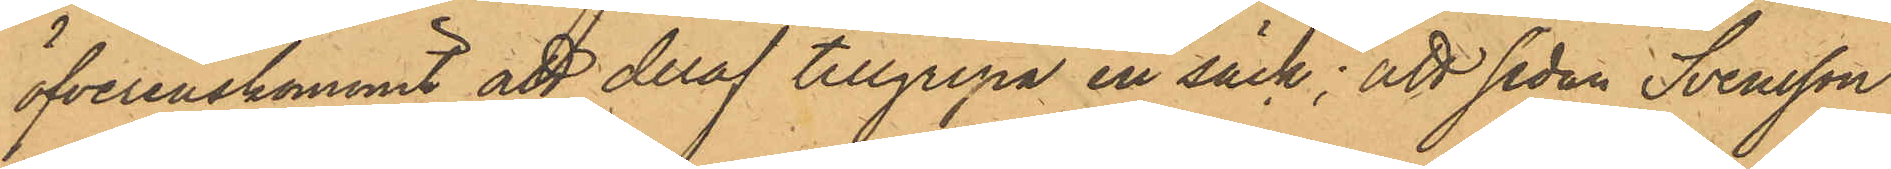öfverenskommit att deraf tillgripa en säck; att sedan Svensson
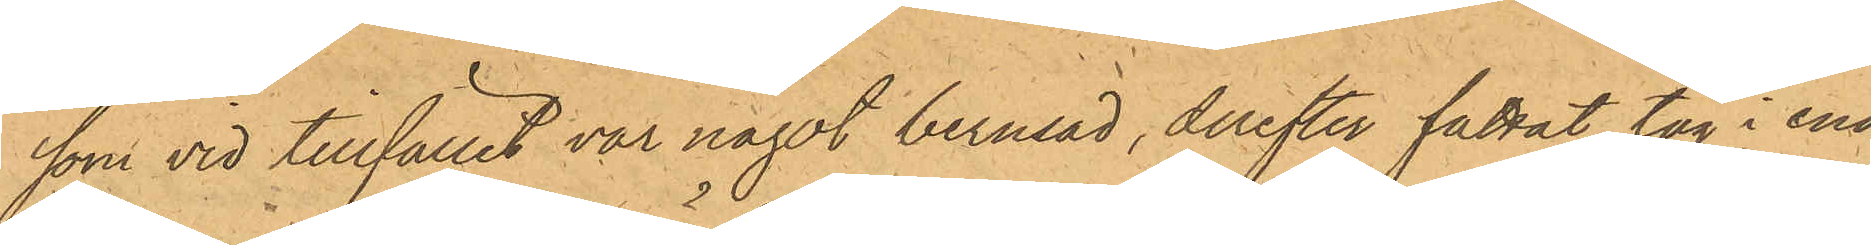som vid tillfället var något berusad, derefter fattat tag i ena
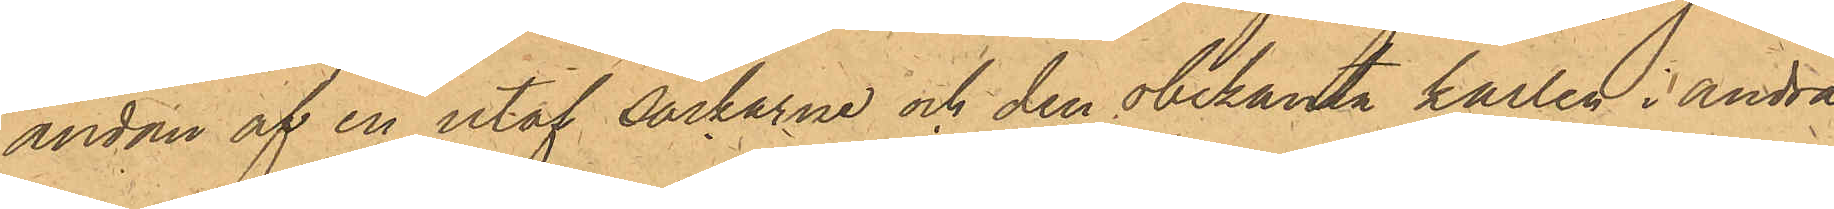ändan af en utaf säckarne och den obekanta karlen i andra
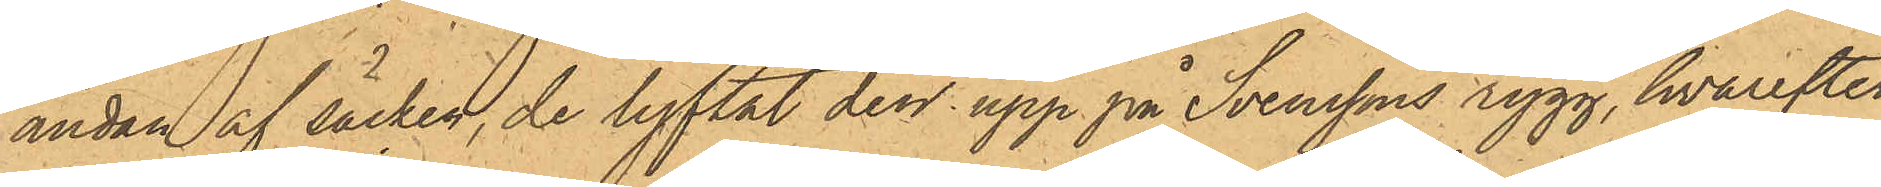ändan af säcken, de lyftat den upp på Svenssons rygg, hvarefter
